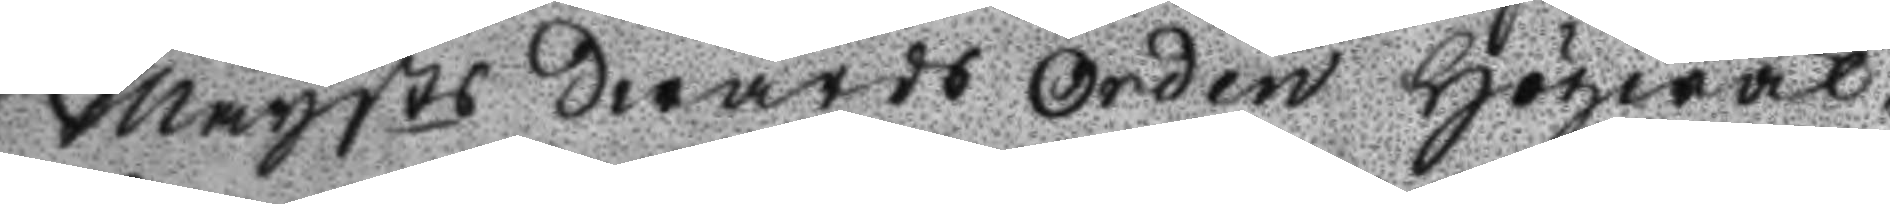Maysts Swärds orden Högwäl¬
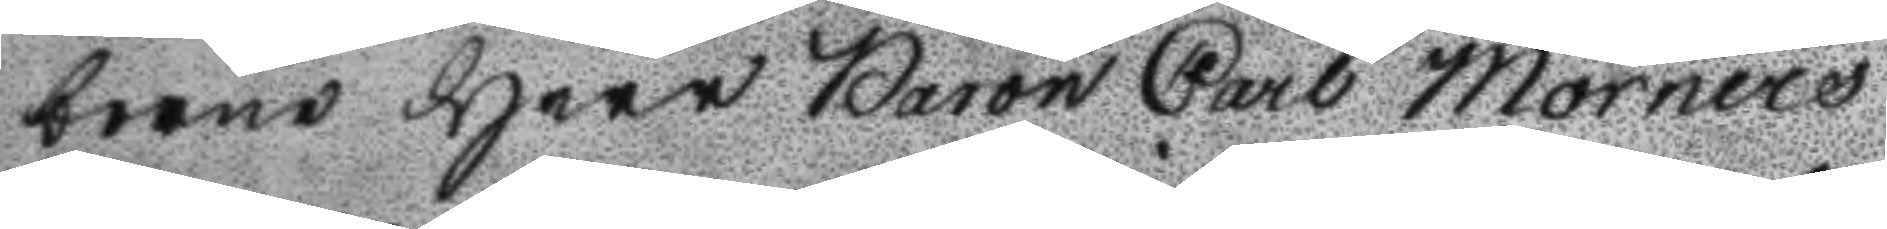borne Herr Baron Carl Mörners
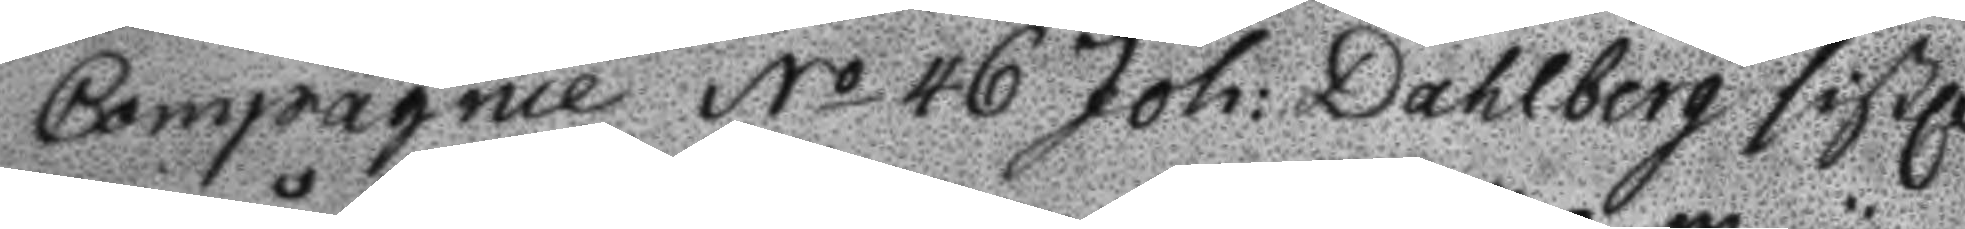Compagnie No 46 Joh: Dahlberg sistl.
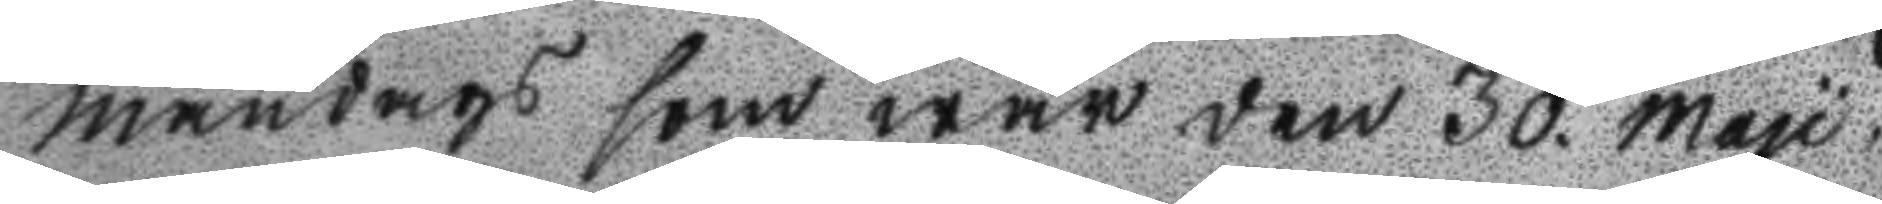måndags som war den 30. may,
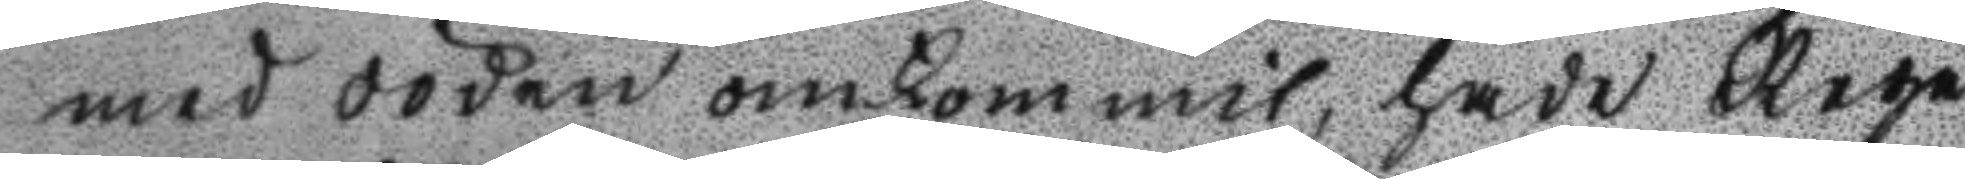med döden omkommit, hade Rege
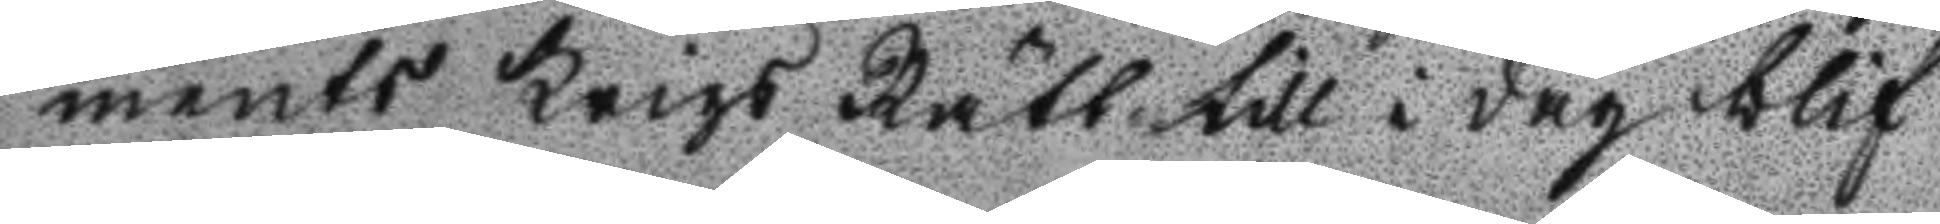ments Krigs Rätt till i dag blif
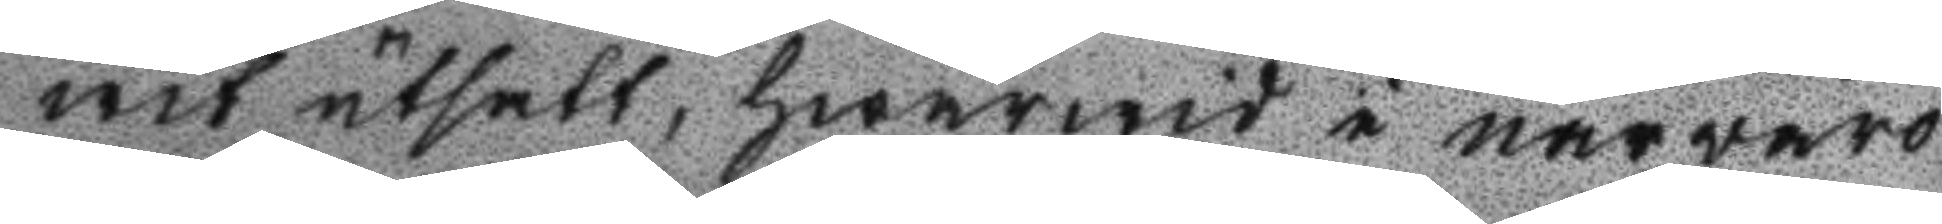wit utsatt, hwarwid i närwaro
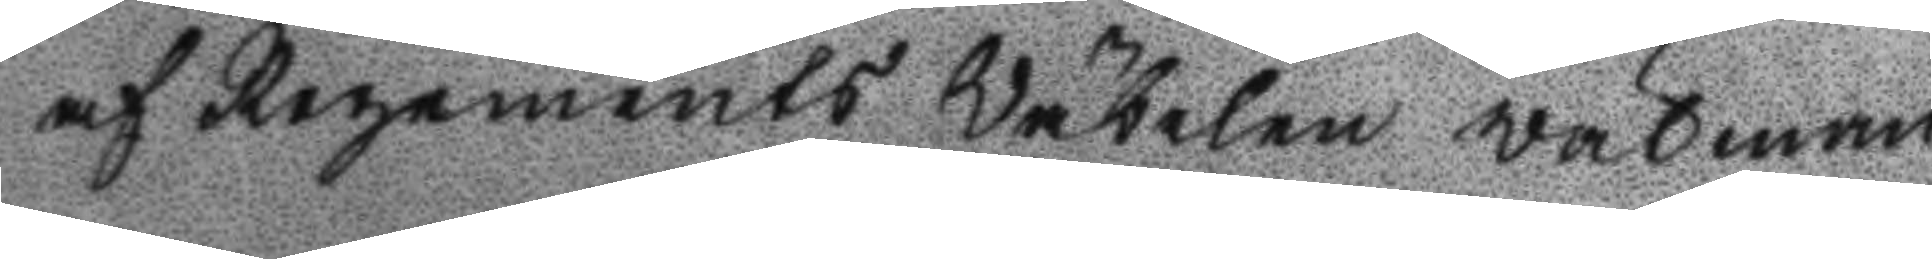af Regements Wäbelen wälman
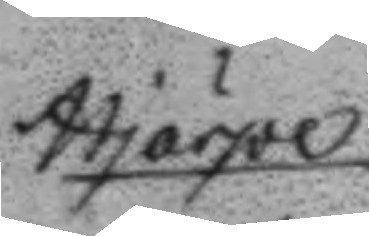Hjärpe
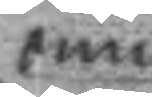om
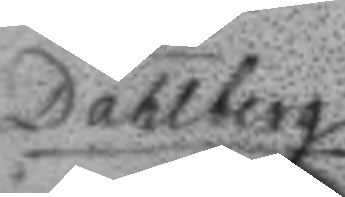Dahlberg
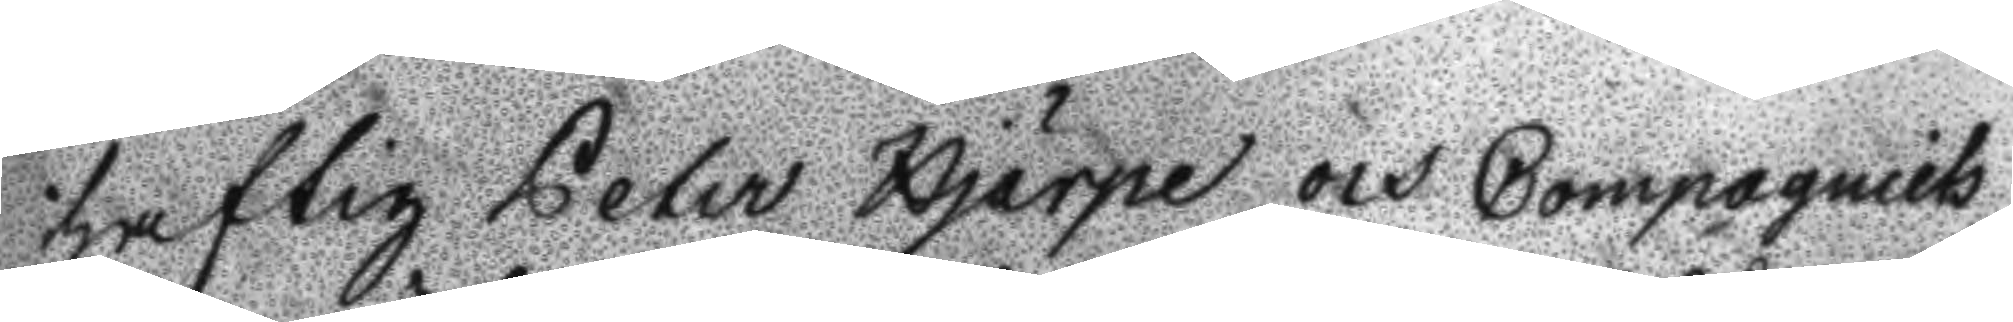haftig Peter Hjärpe och Compagniets
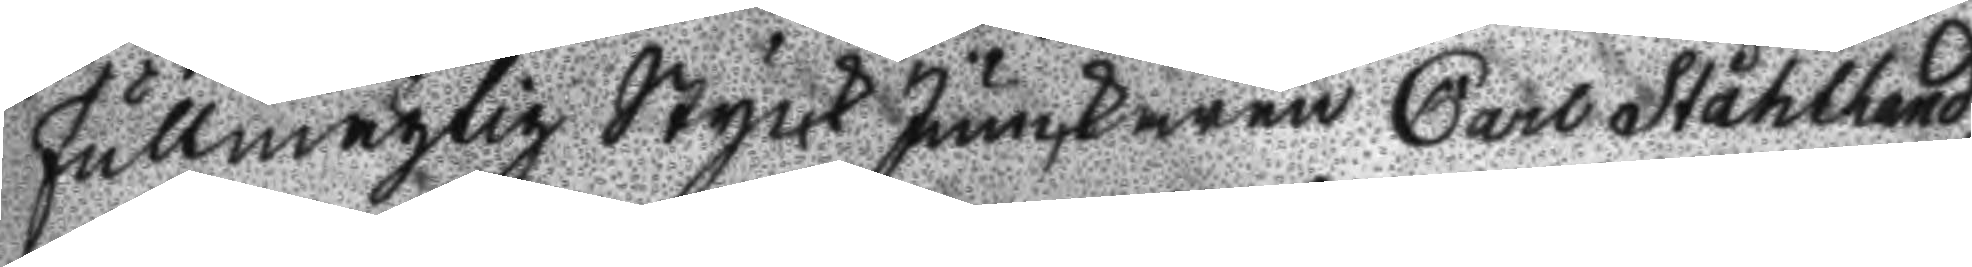Fullmägtig Styck junkaren Carl Ståhlhand,
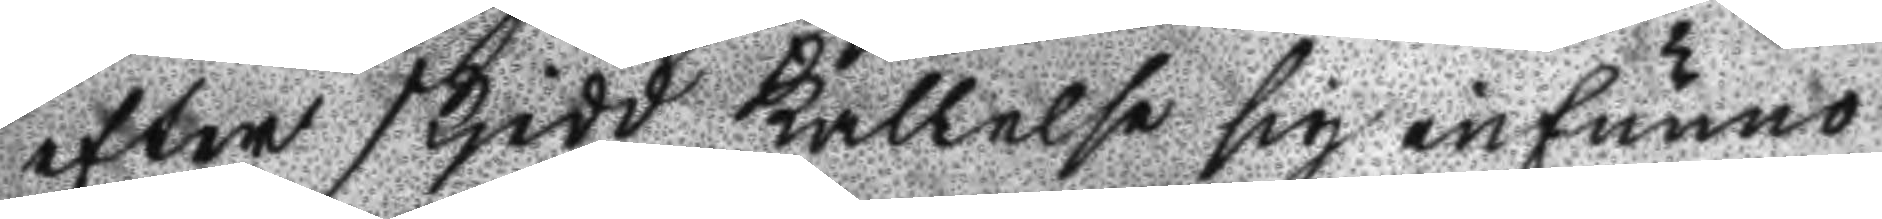efter skjedd kallelse sig infunno
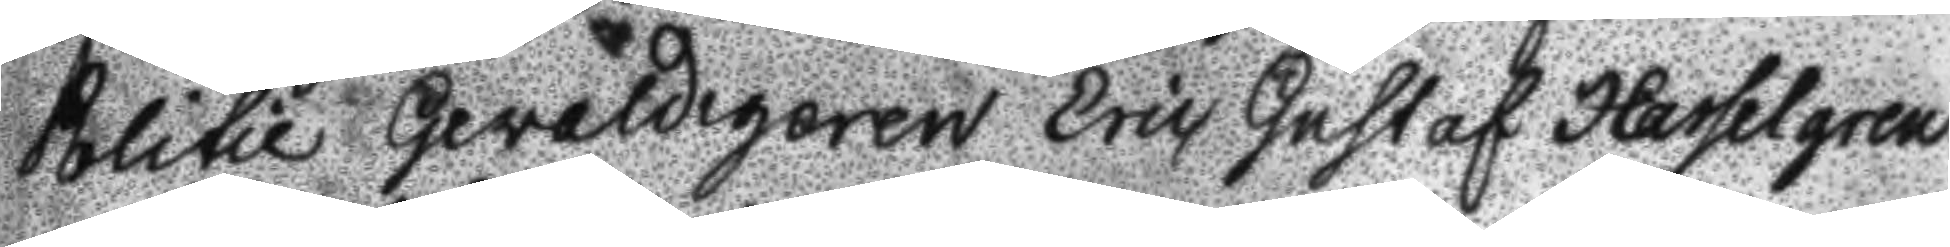Politie Gevaldigeren eric Gustaf Hasselgren
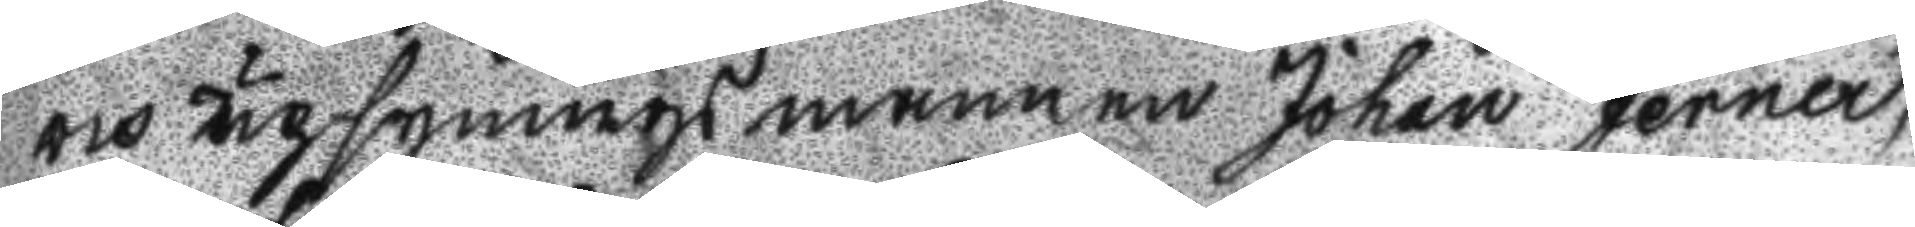och upsyningsmannen Johan jerner,
